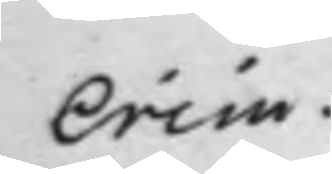Crim.
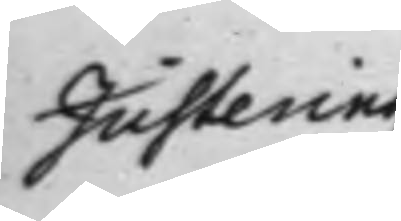Justering
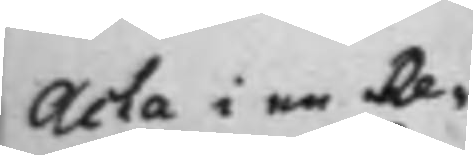Acta i en Re¬
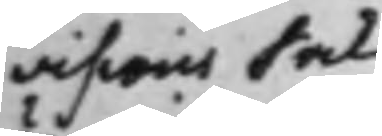visions Sak
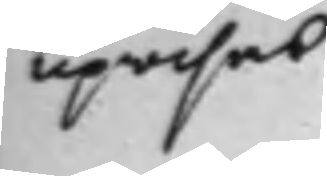upwisas
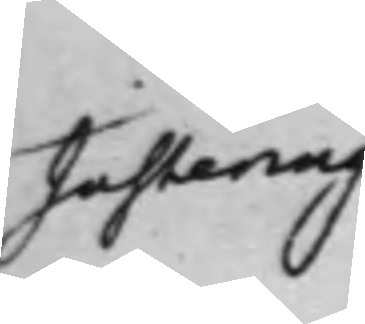Justering
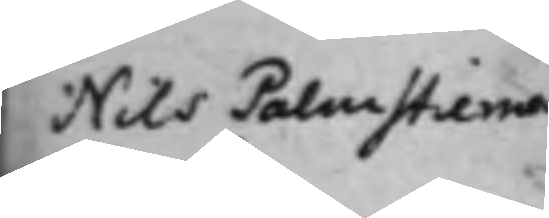Nils Palmstierna
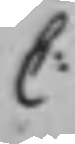C:
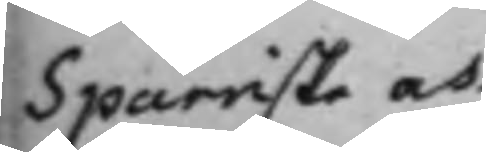Sparriske och
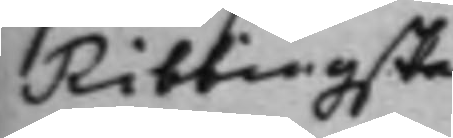Ribbingske
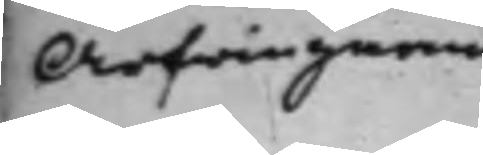Arfwingarne
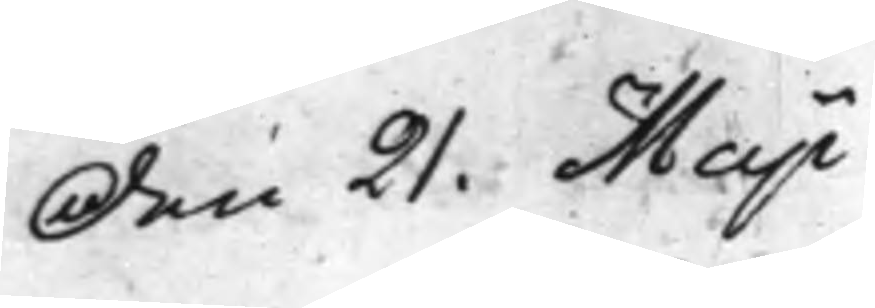Den 21. Maji
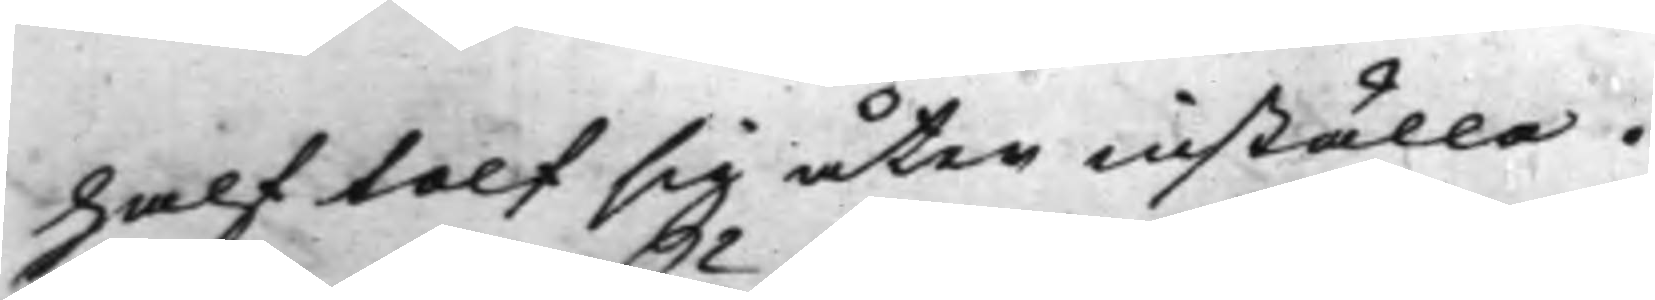half tolf sig åter inställa.
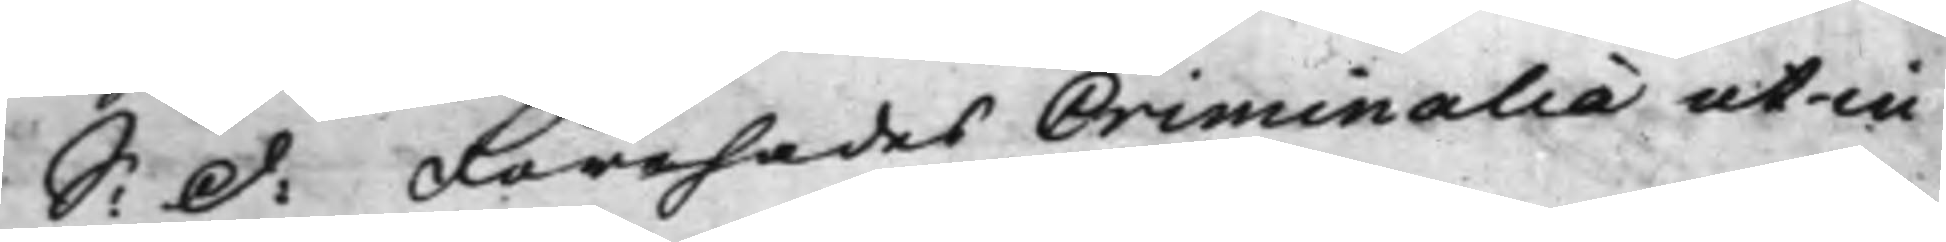S: d: Förehades Criminalia ut in
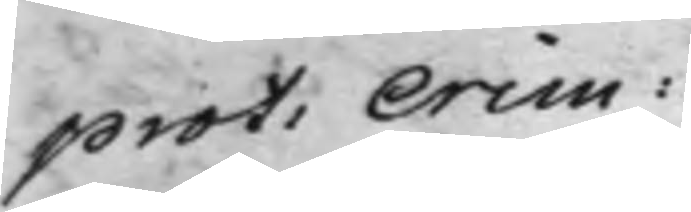prot: Crim:
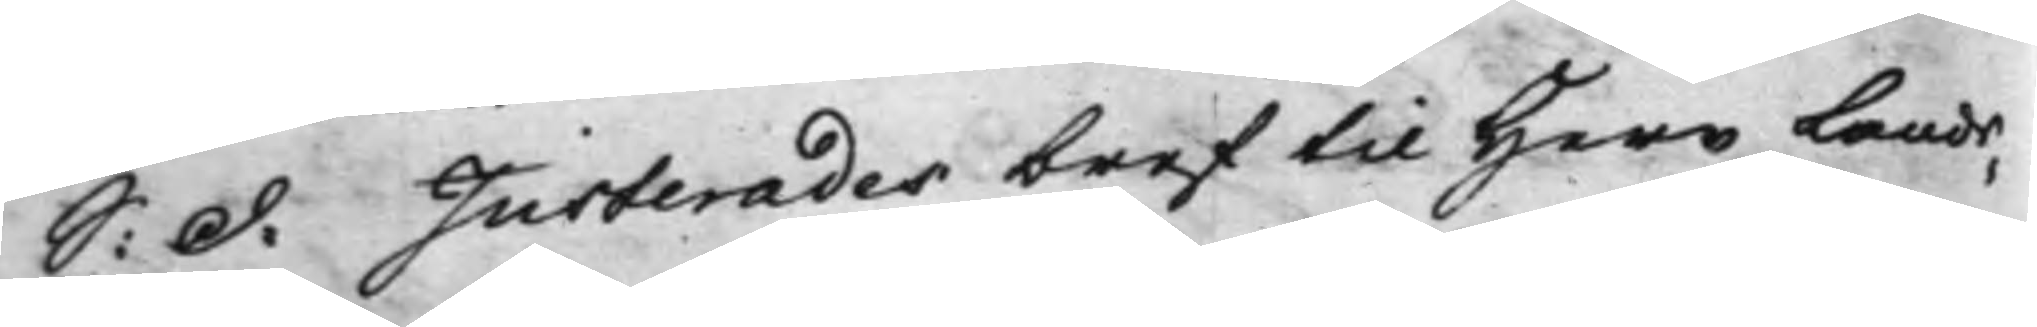S: d: Justerades bref til Herr Lands¬
